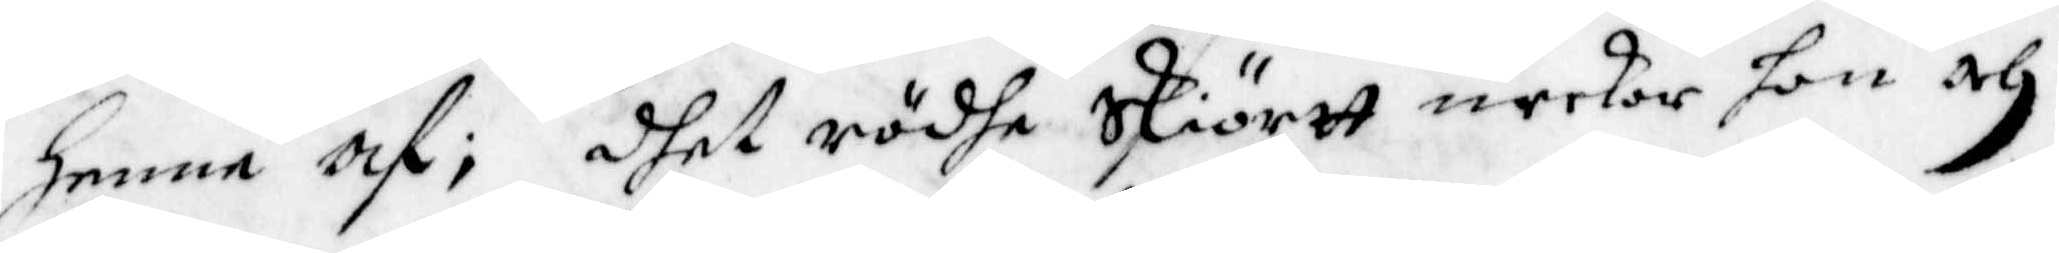Henne af; dhet rödhe Skiörtt neekar hon och
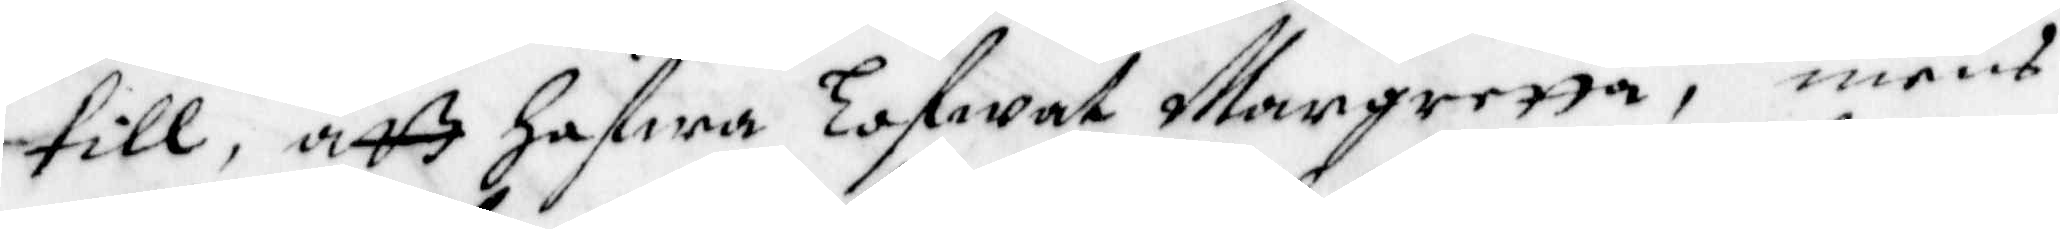till, att hafwa lofwat Margretta, mens
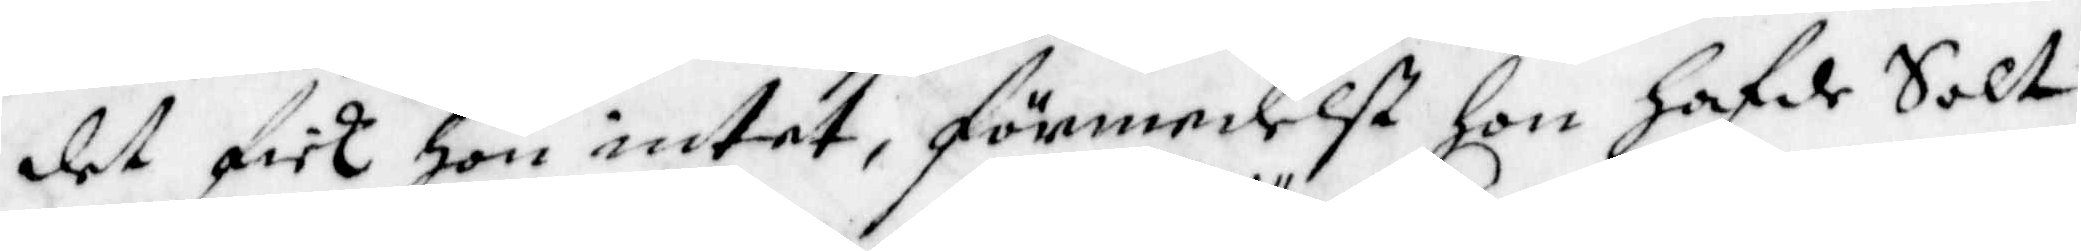det fick hon intet, förmedelst Hon Hafde Salt
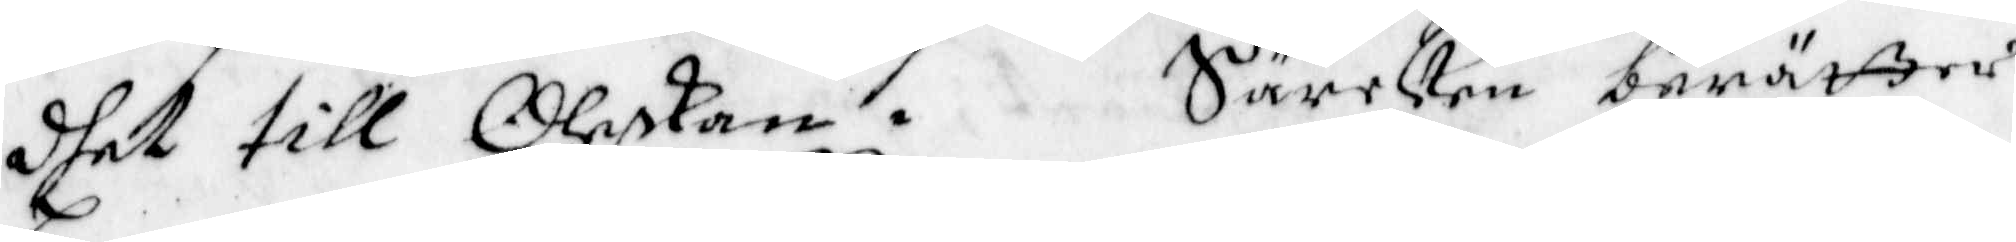dhet till Oleskan. Särcken berätter
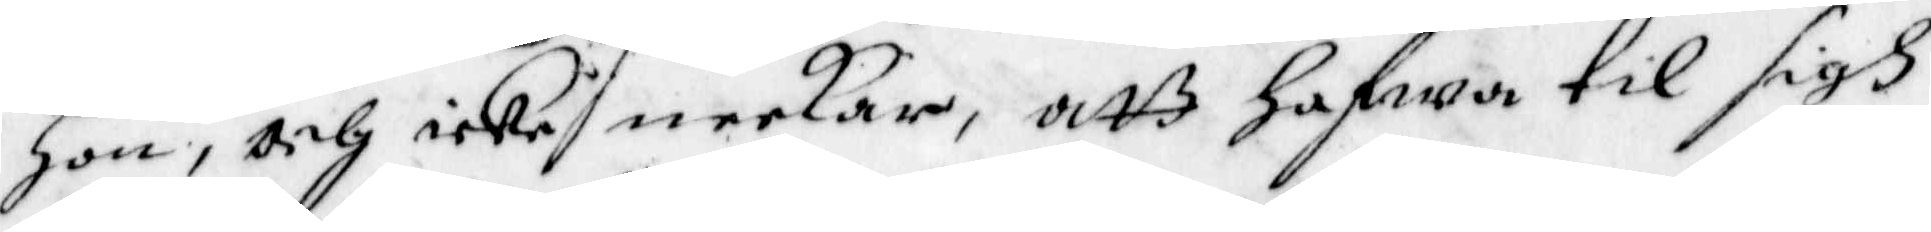Hon, och icke neekar, att hafwa til sigh
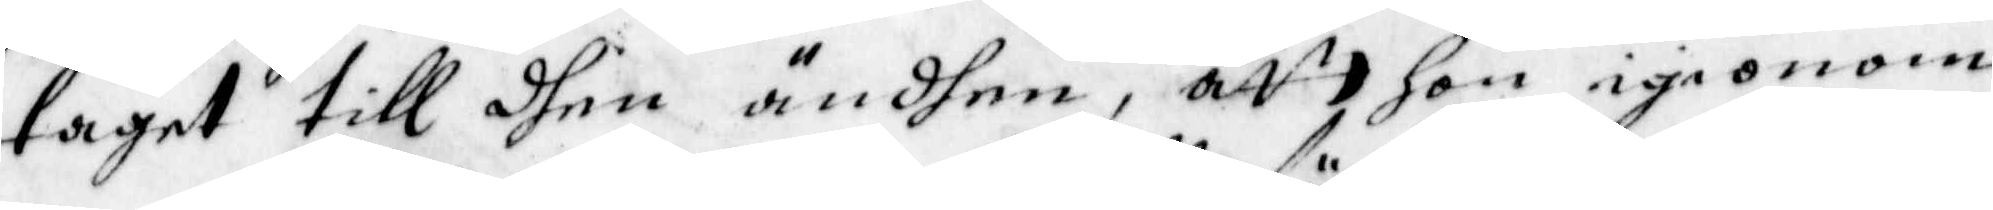taget till dhen ändhen, att hon igiönom
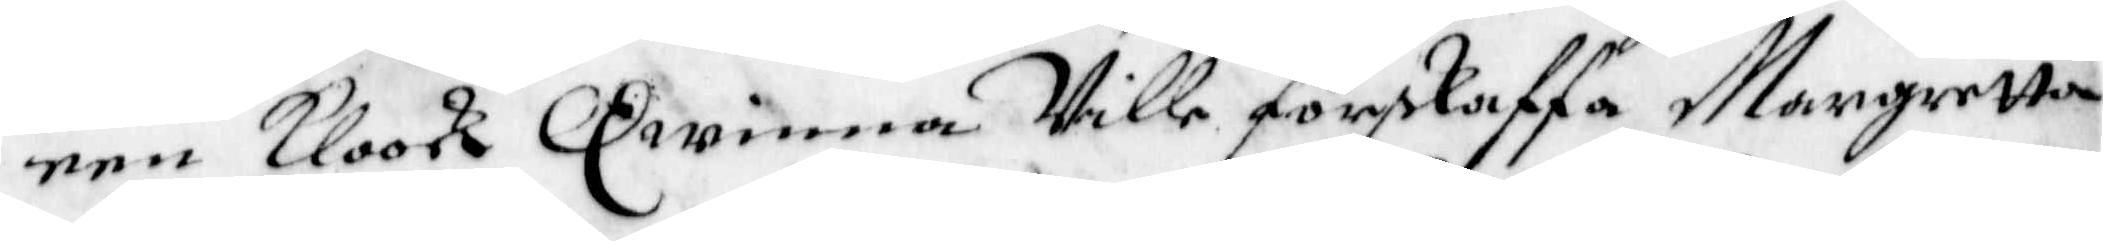en Kloock Qwinna Ville förskaffa Margretta
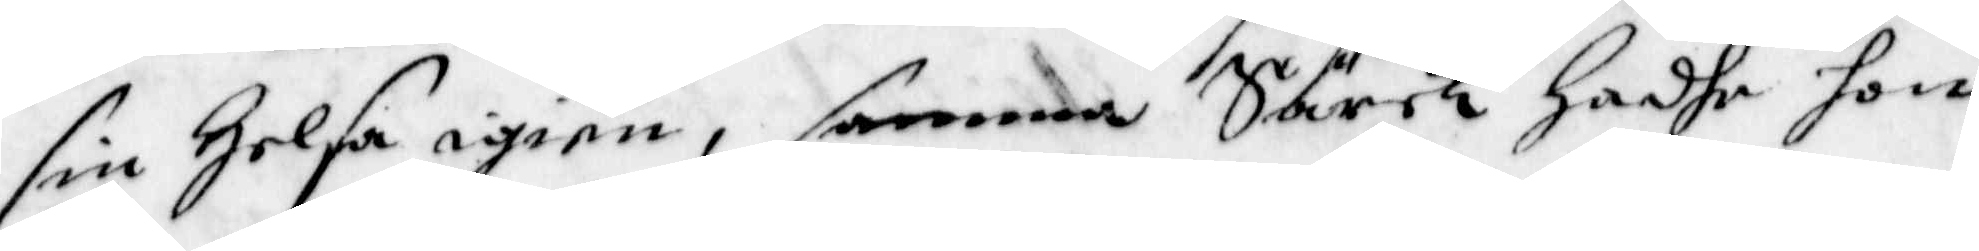sin Helsa igien, samma Särck hadhe hon
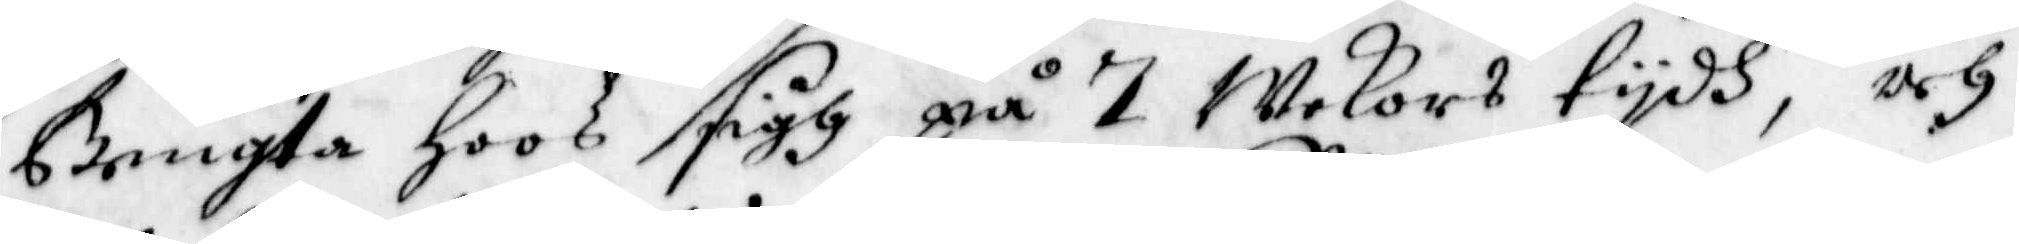Bengta Hoos sigh på 7 Wekors tydh, och
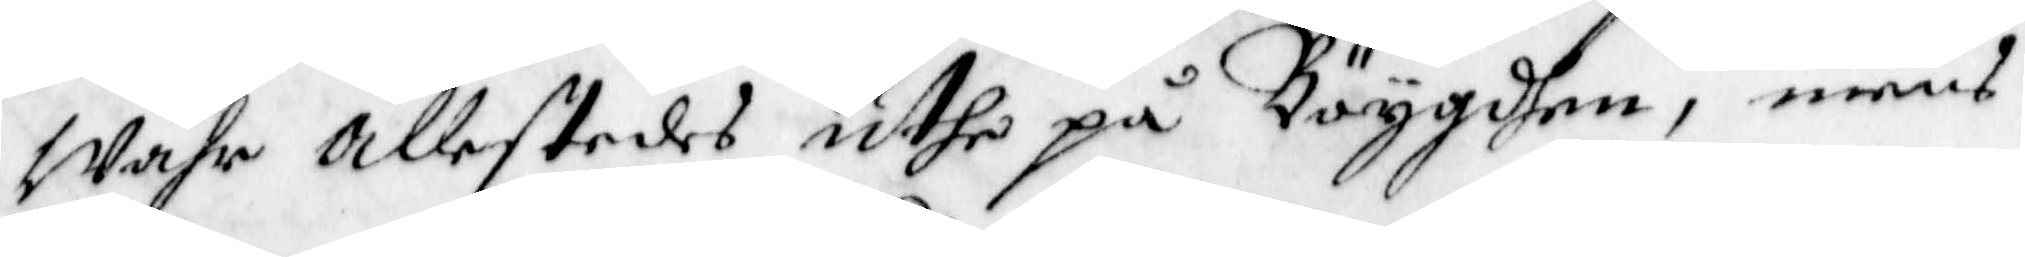Wahr allestedes uthe på Böygden, mens
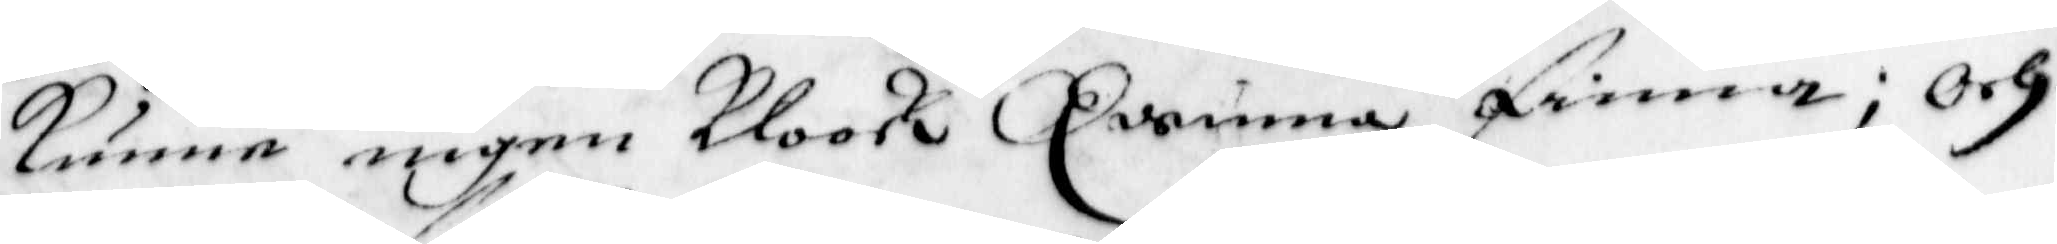kunne ingen Kloock Qwinna finna; Och
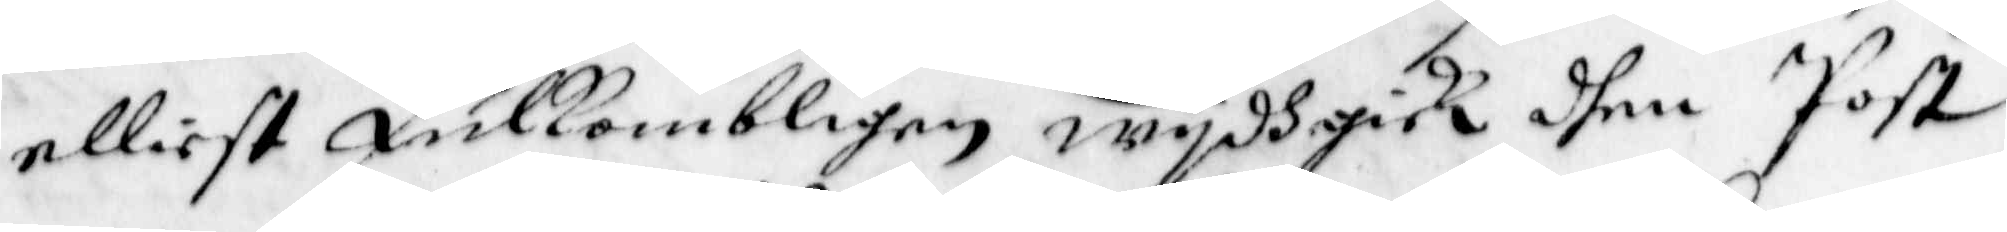elliest Fulkombligen wydh gick dhen Post
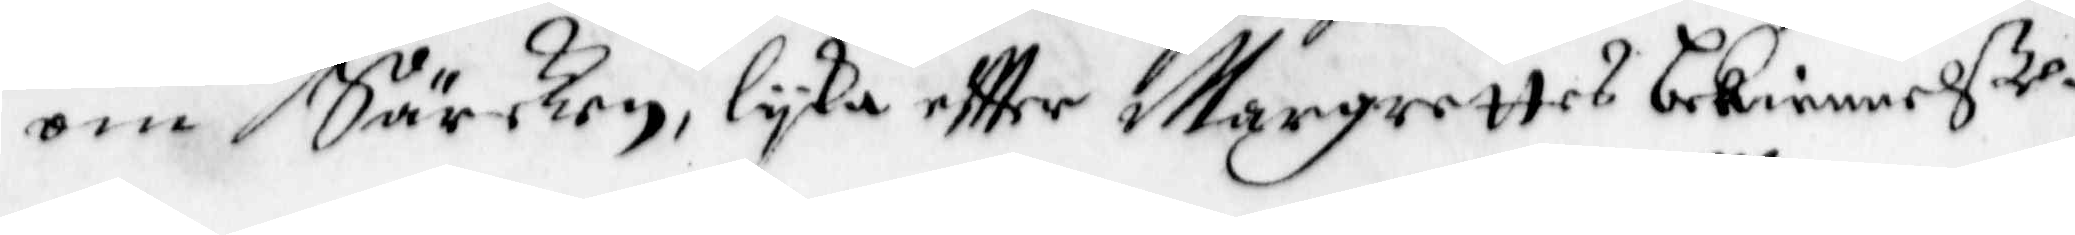om Särken, lyka effter Margrettas bekiennelße.
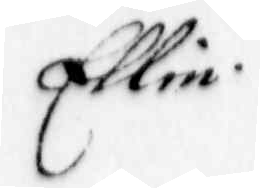Ellin
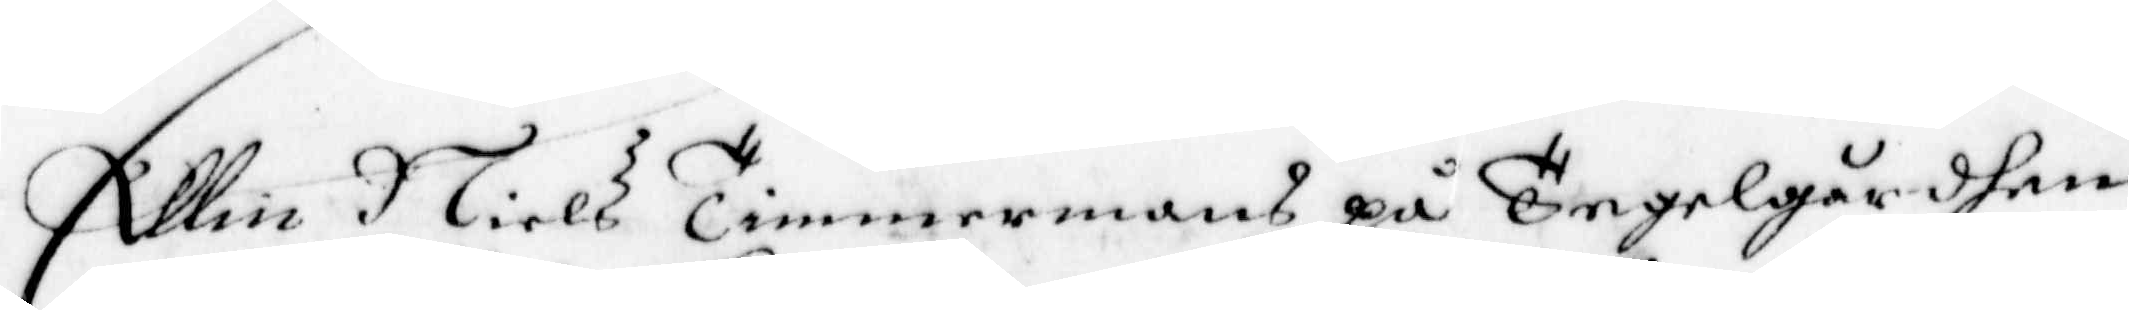Ellin Niels Timmermans på Tegelgårdhen
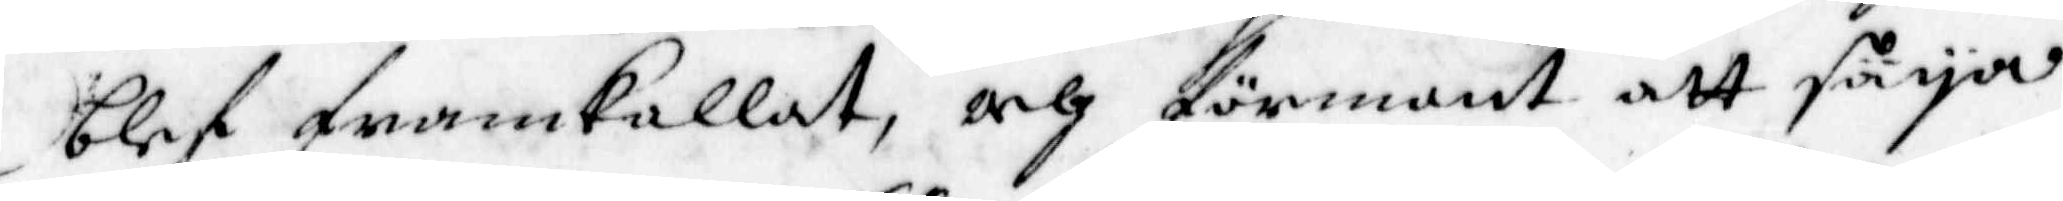blef framkallat, och förmant att säya
